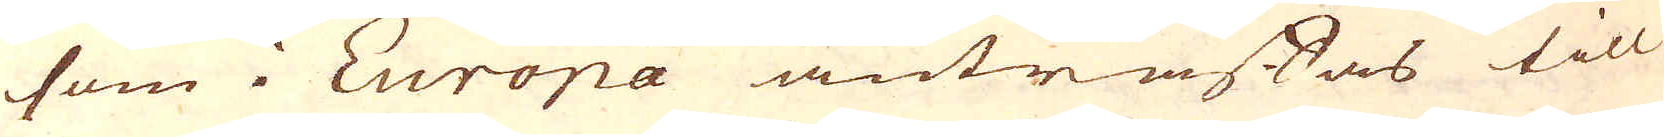som i Europa anträffas till
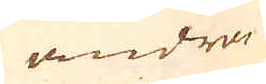andra
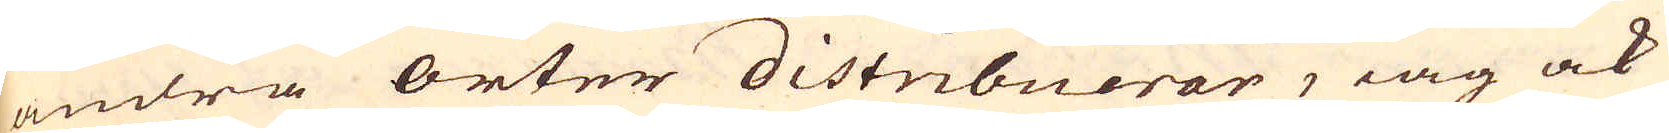andra orter distribuerar, iag ock
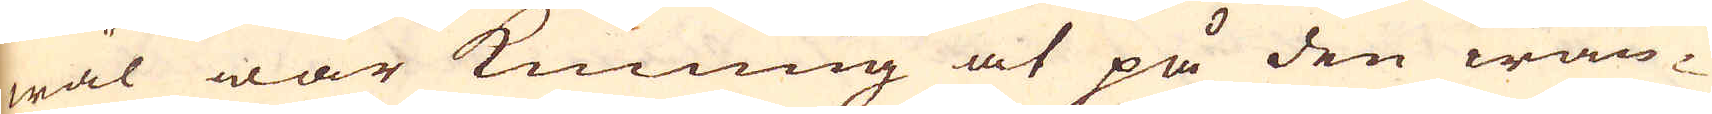wäl war kunning at på den wän-
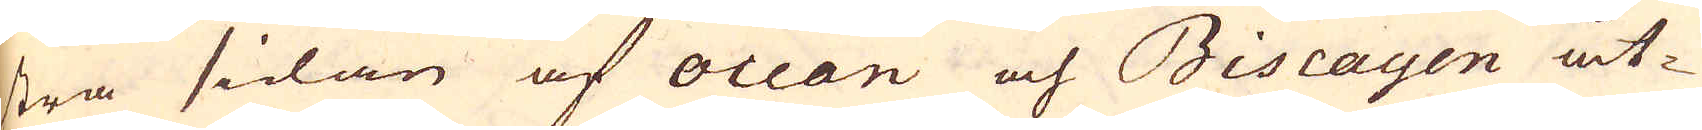stra sidan af occan och Biscayen åt-
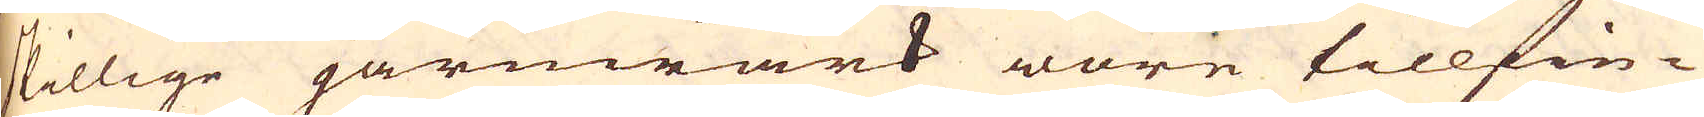skillige järnwärk wore tillfin-
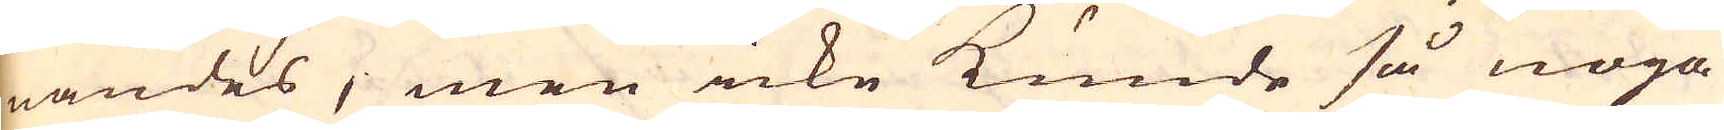nandes; men icke kunde så noga
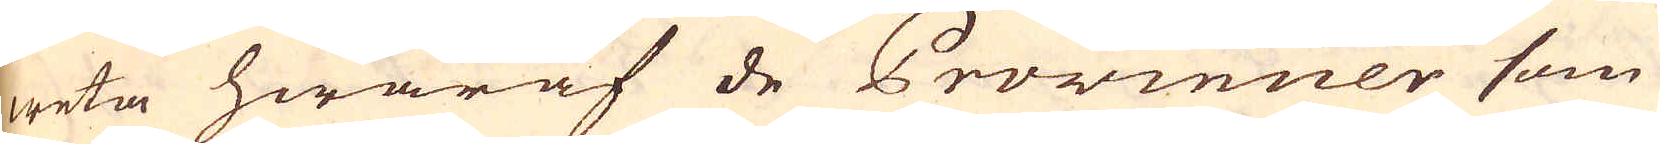weta hwaraf de Provincier som
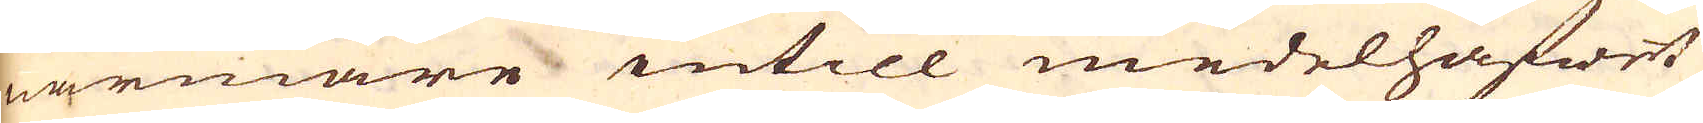närmare intill medelhafwet
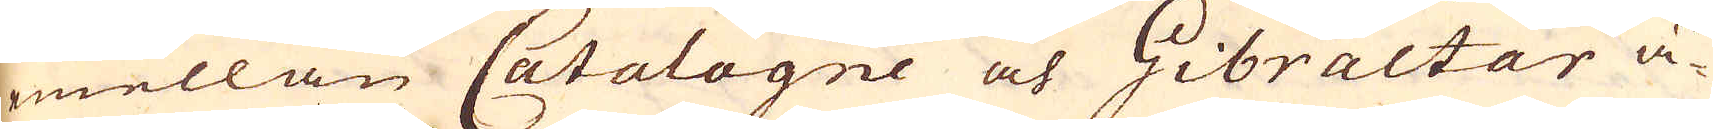mellan Catalogne och Gibraltar ä-
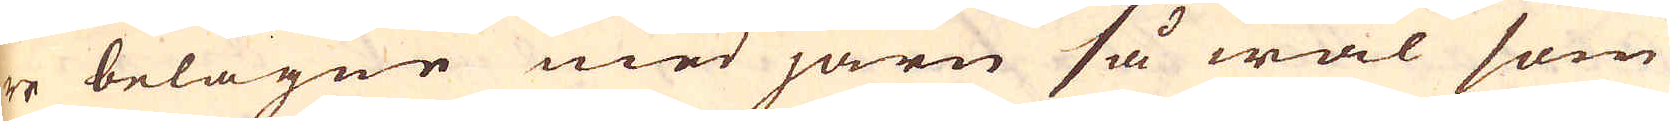re belägne med järn så wäl som
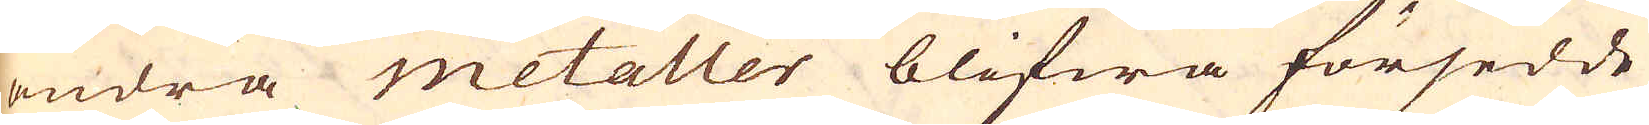andra metaller blifwa försedde
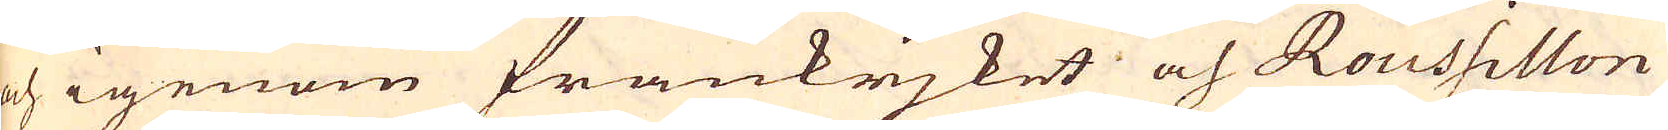och igenom frankrjket och Roussillon
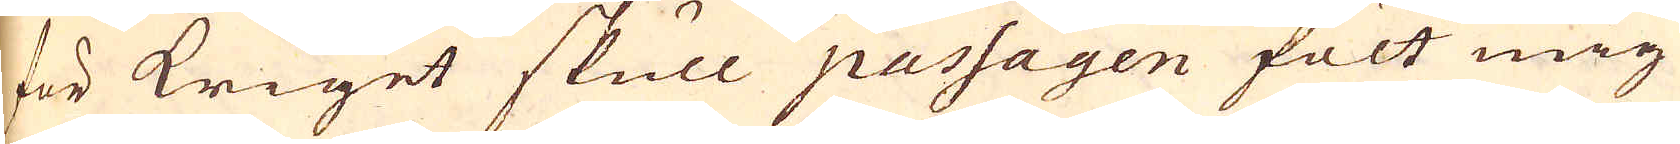för kriget skull passagen fölt mig
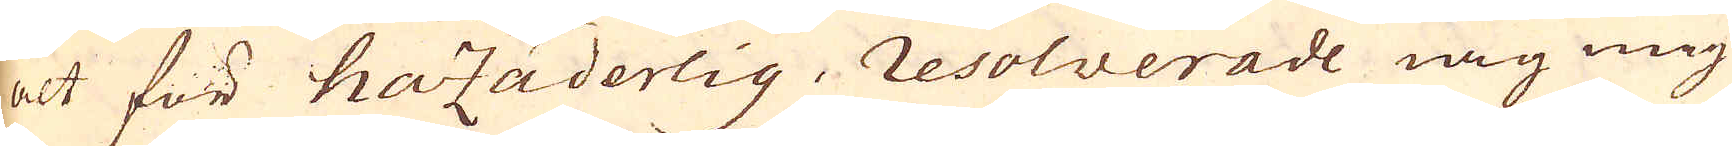alt för hazaderlig, resolverade iag mig
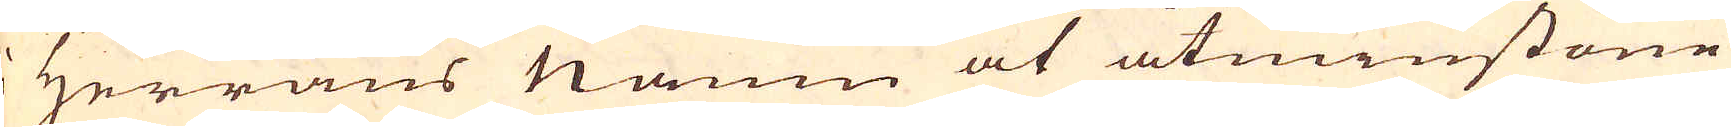i Herrans namn at åtminstone
